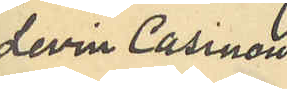Levin Casinow¬
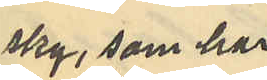sky, som har
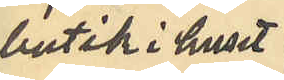butik i huset
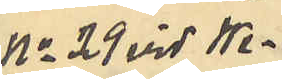No 29 vid We¬
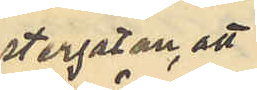stergatan, att
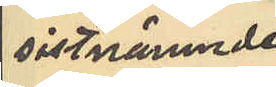sistnämnde
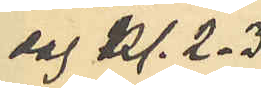dag kl. 2-3
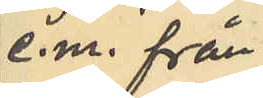e.m. från
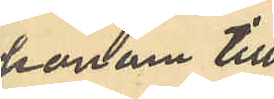honom till
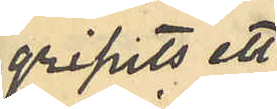gripits ett
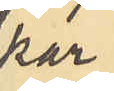par
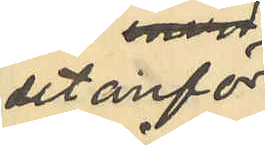utanför
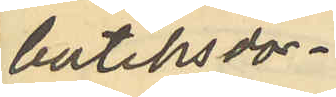butiksdör¬
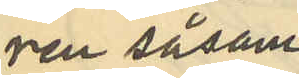ren såsom
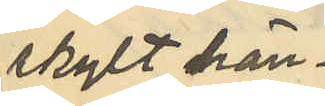skylt hän¬
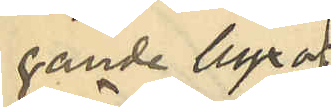gande byxor
